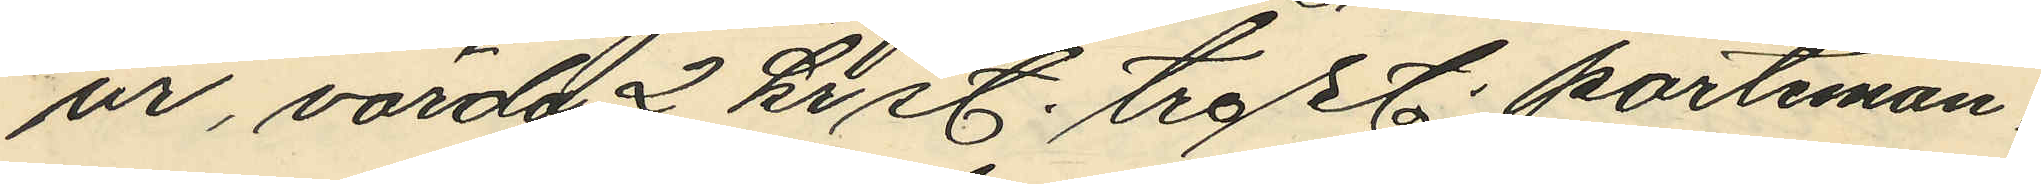ur, värda 2 kr st. tre st. portemon¬
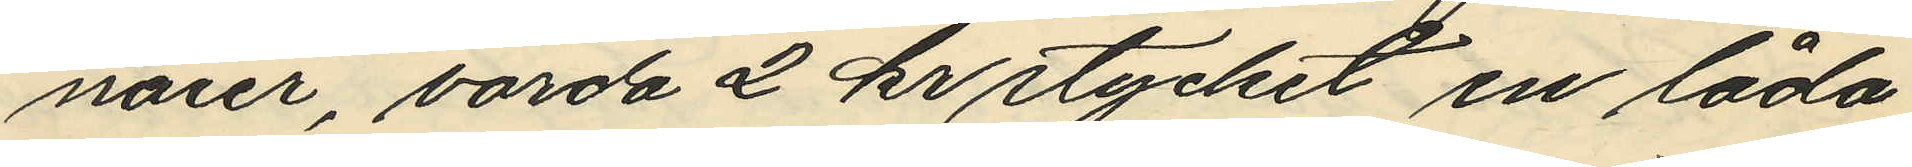naier, värda 2 kr stycket en låda,
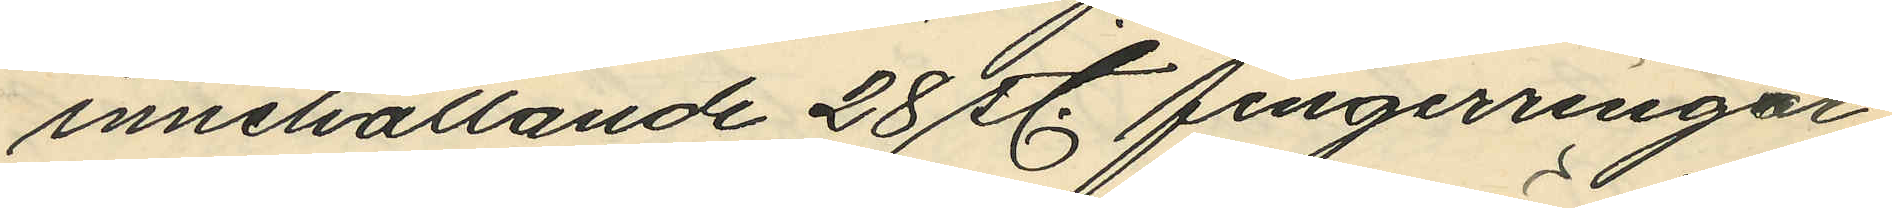innehållande 28 st. fingerringar
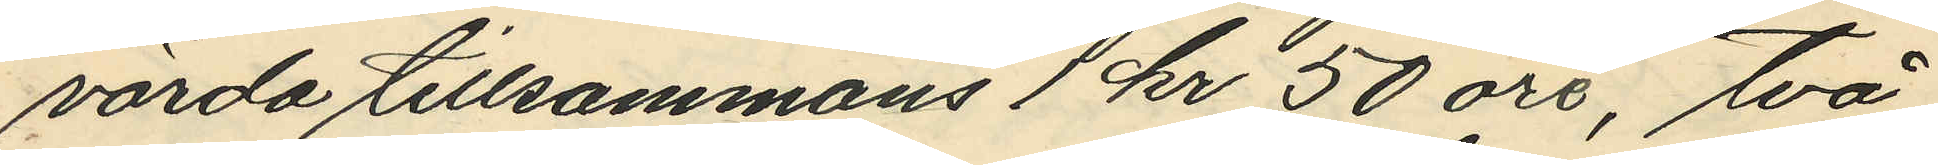värda tillsammans 1 kr 50 öre, två
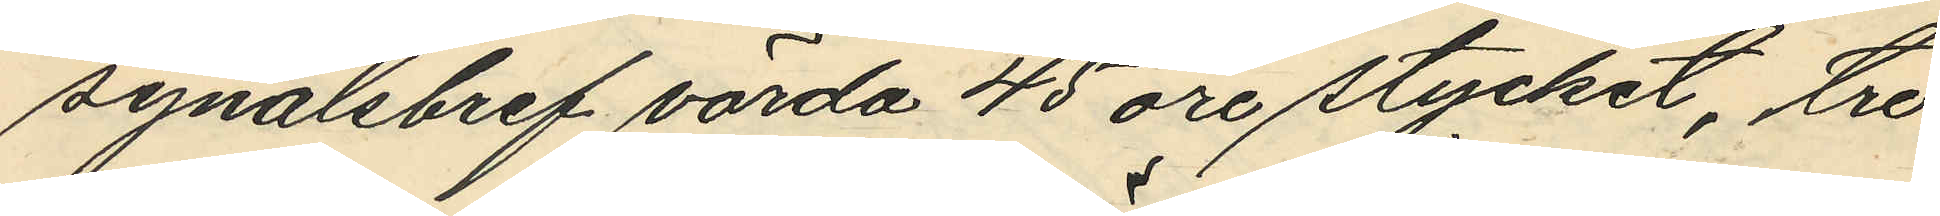synålsbref värda 45 öre stycket, tre
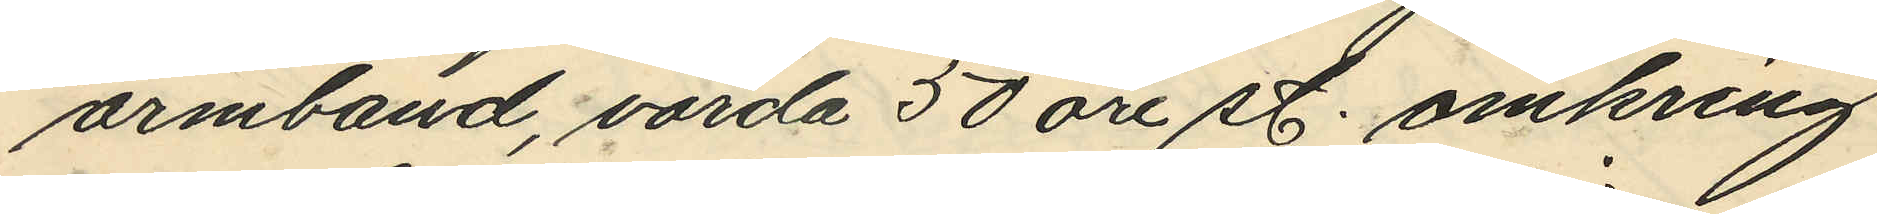armband, värda 50 öre st. omkring
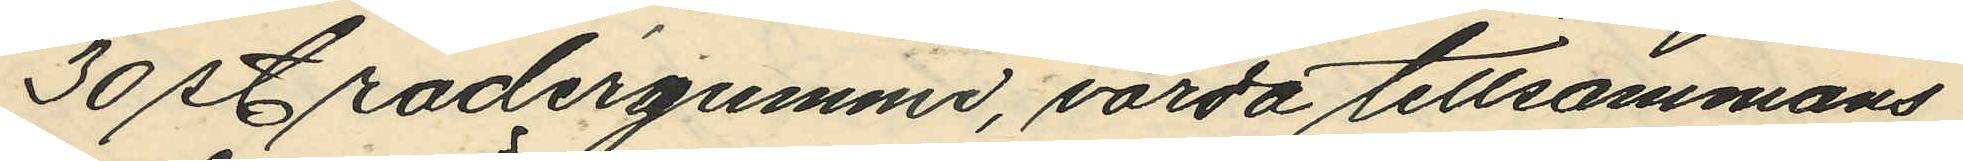30 radergummi, värda tillsammans
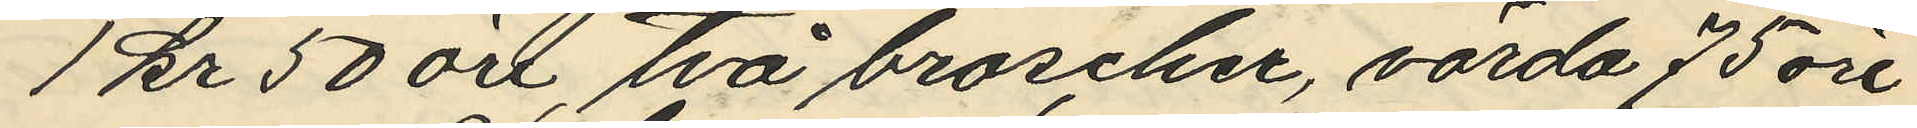1 kr 50 öre, två broscher, värda 75 öre
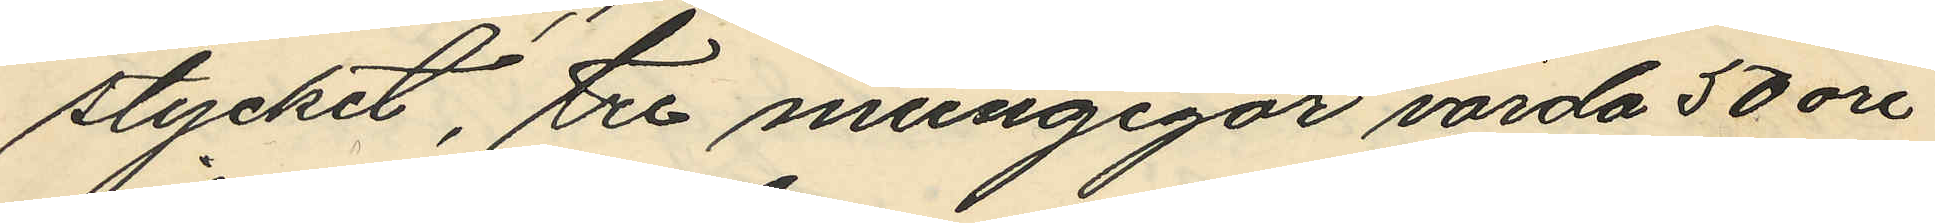stycket, tre mungigor värda 50 öre
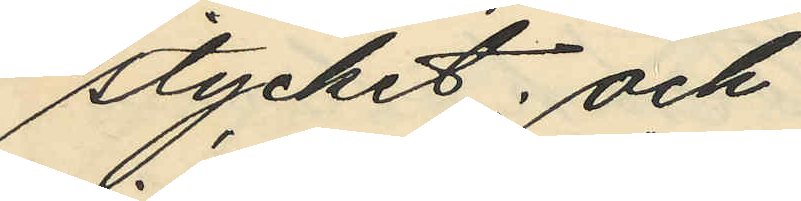stycket; och
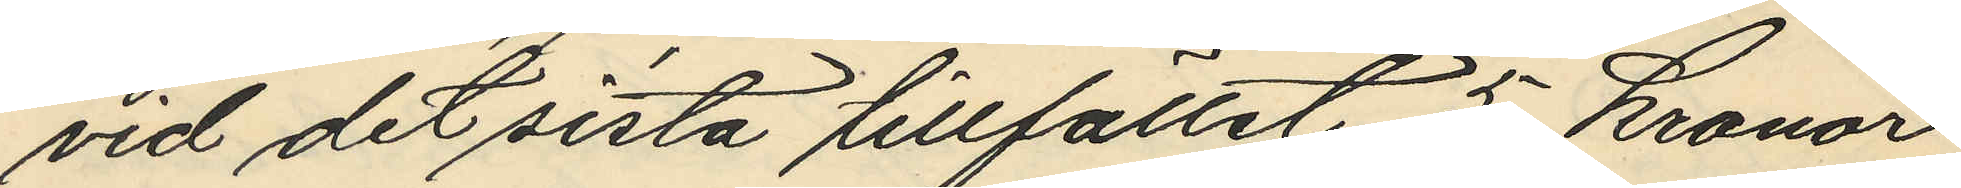vid det sista tillfället 5 kronor
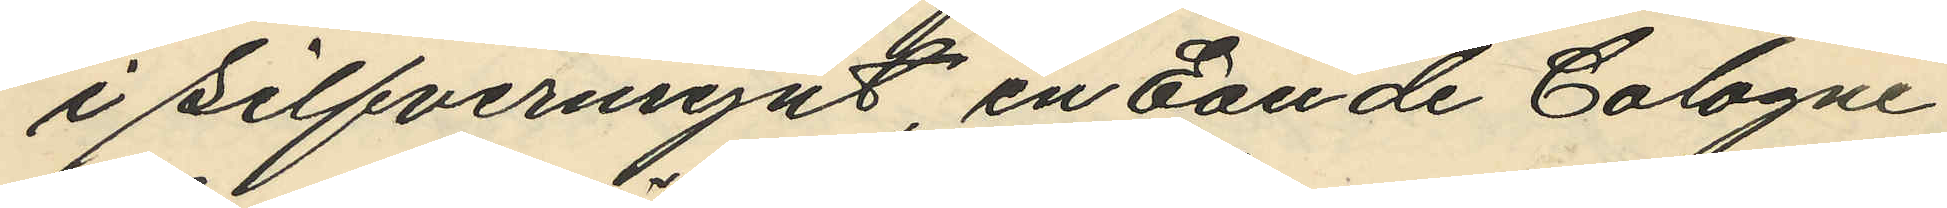i silfvermynt, en Eau de Cologne
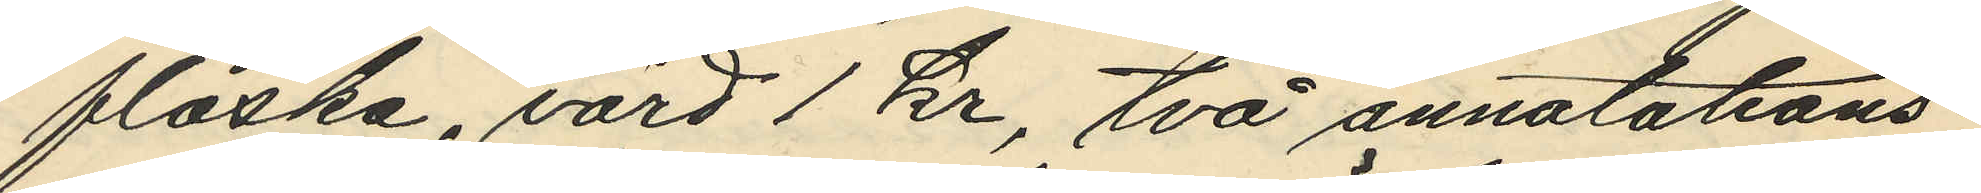flaska, värd 1 kr, två annotations¬
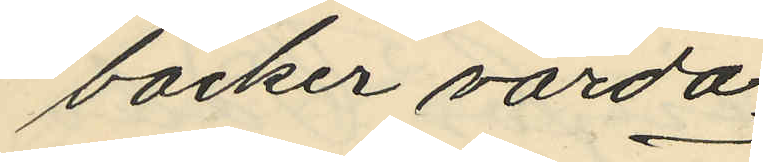böcker värda
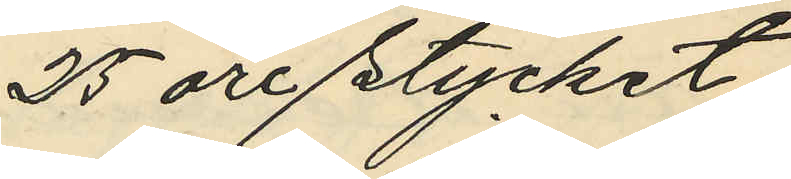25 öre stycket,
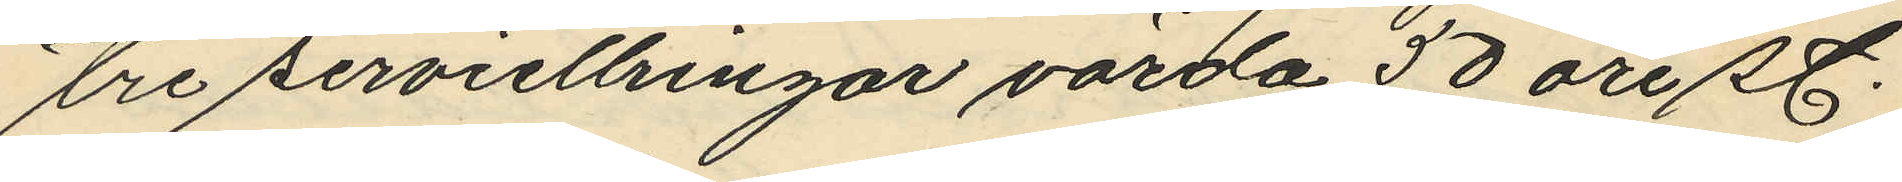tre serviettringar värda 50 öre st.
